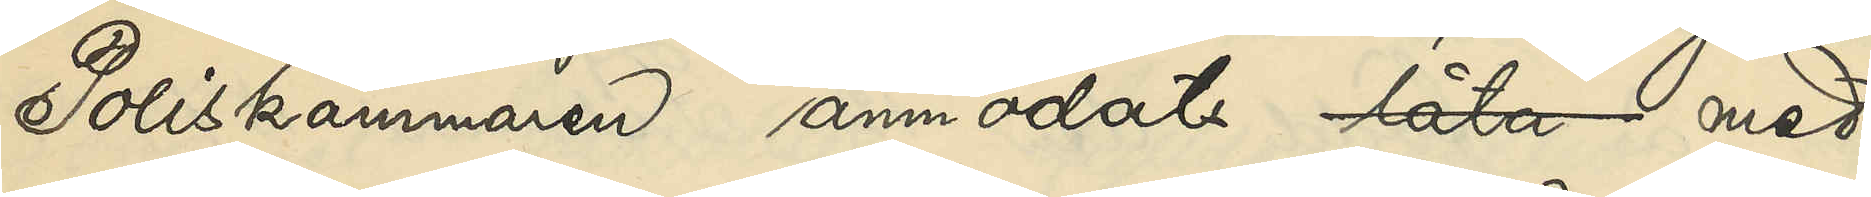Poliskammaren anmodats låta med
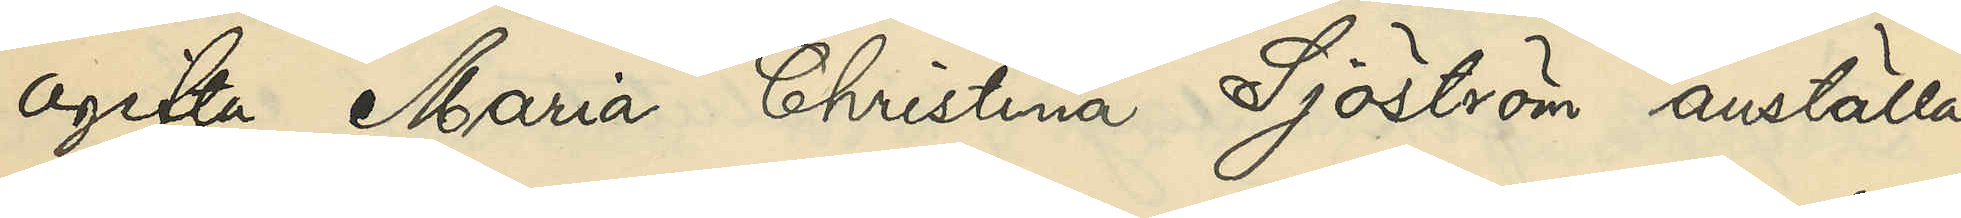ogifta Maria Christina Sjöström anställa
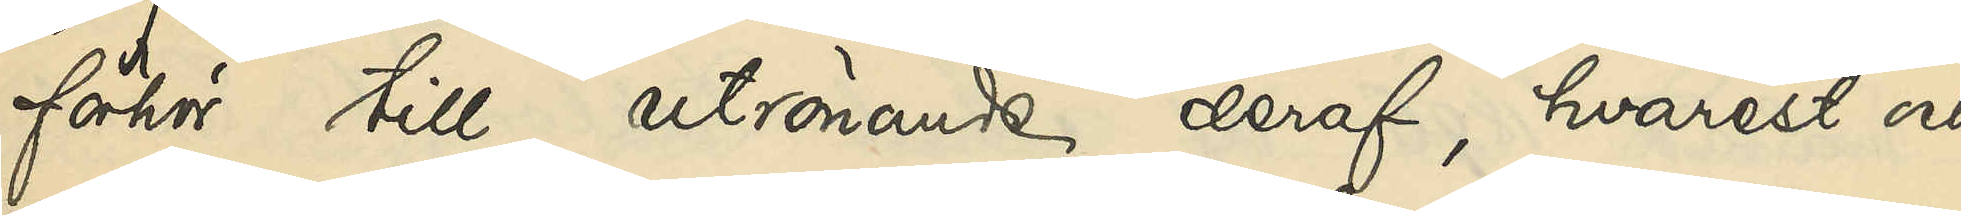förhör till utrönande deraf, hvarest och
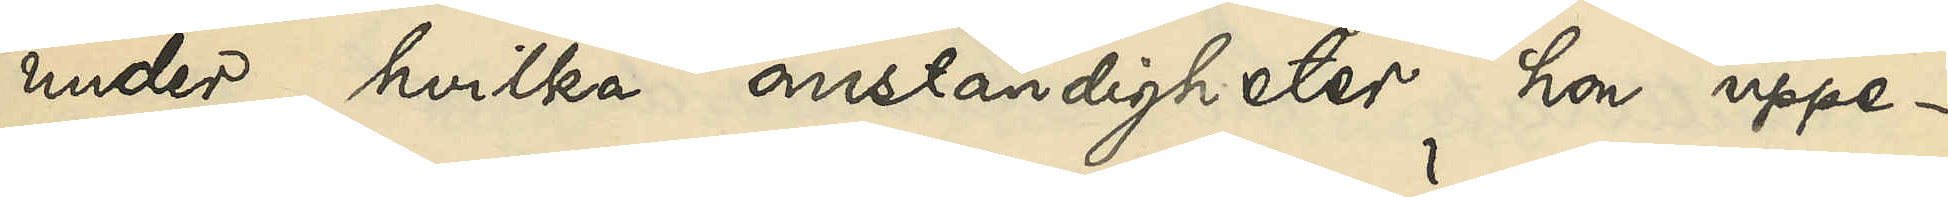under hvilka omständigher hon uppe¬
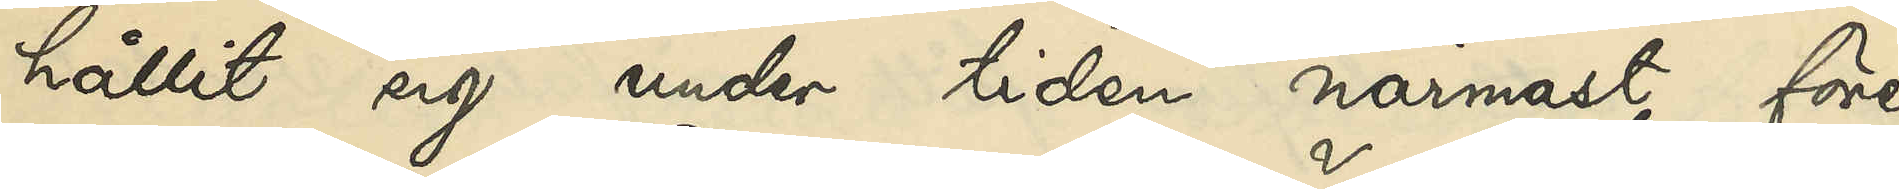hållit sig under tiden närmast före
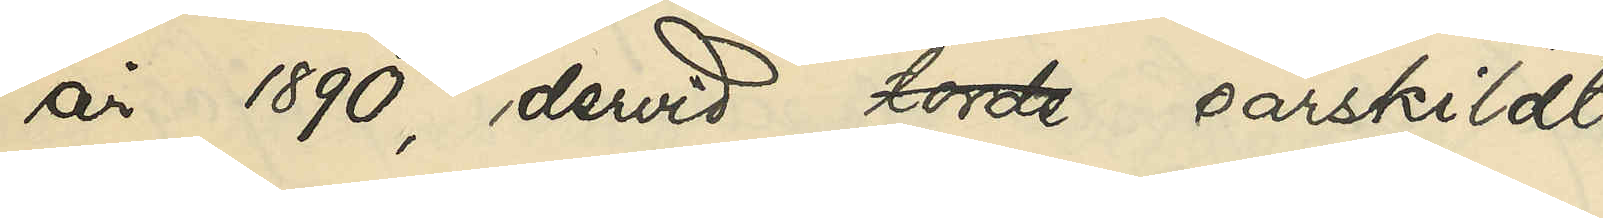år 1890, dervid torde särskildt
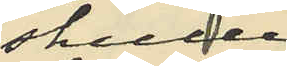skulle
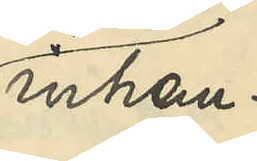inhem¬
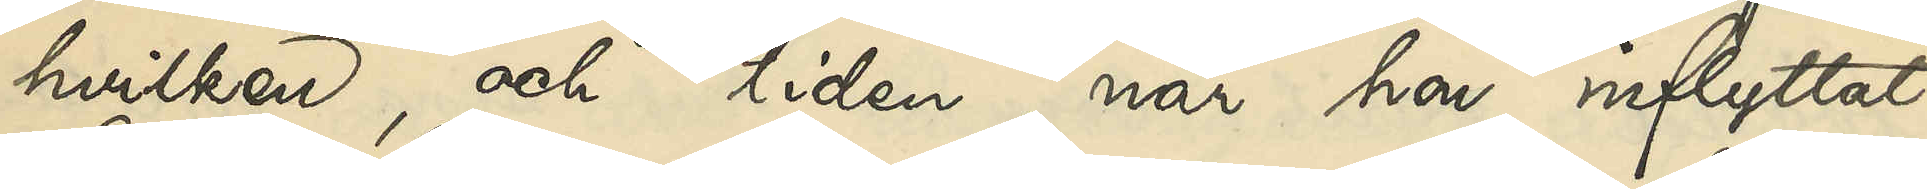hvilken, och tiden, när hon inflyttat
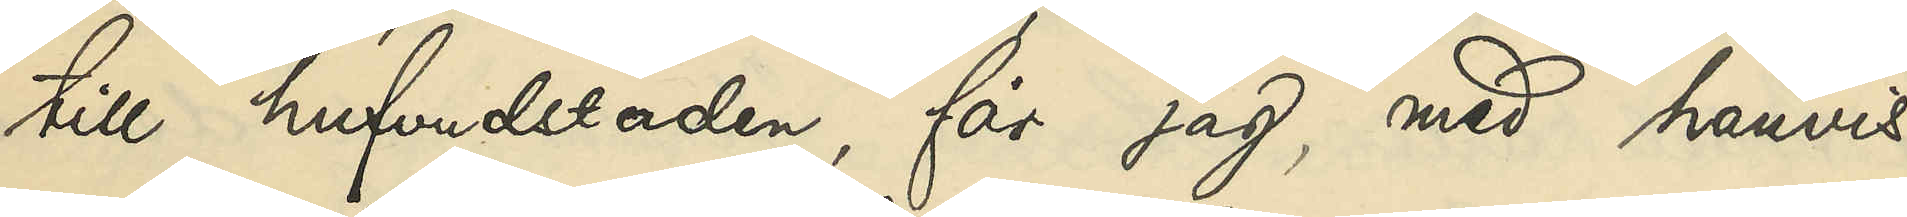till hufvudstaden, får jag med hänvis¬
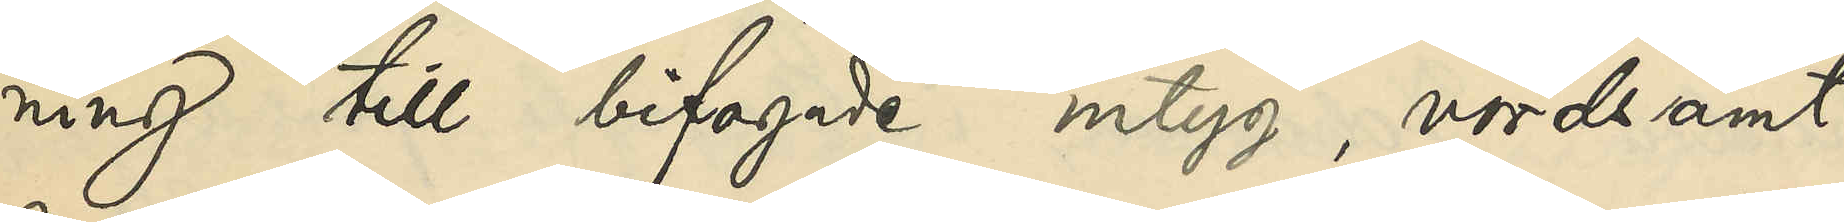ning till bifogade intyg, vördsamt
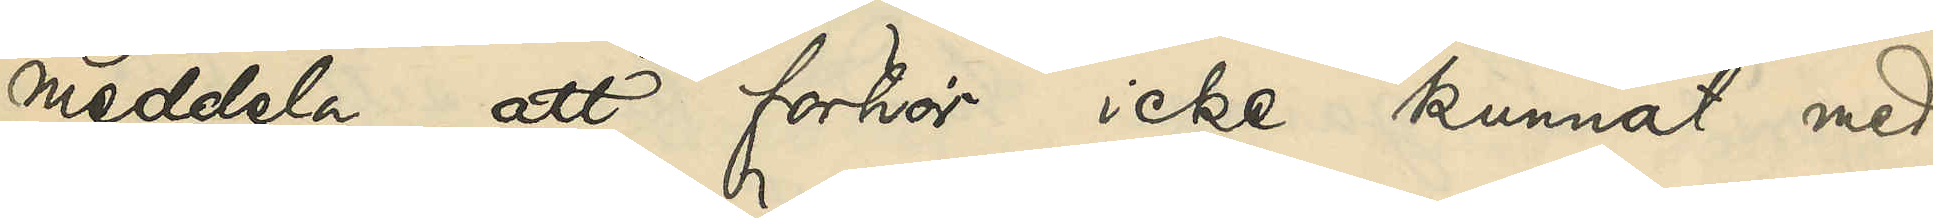meddela, att förhör icke kunnat med
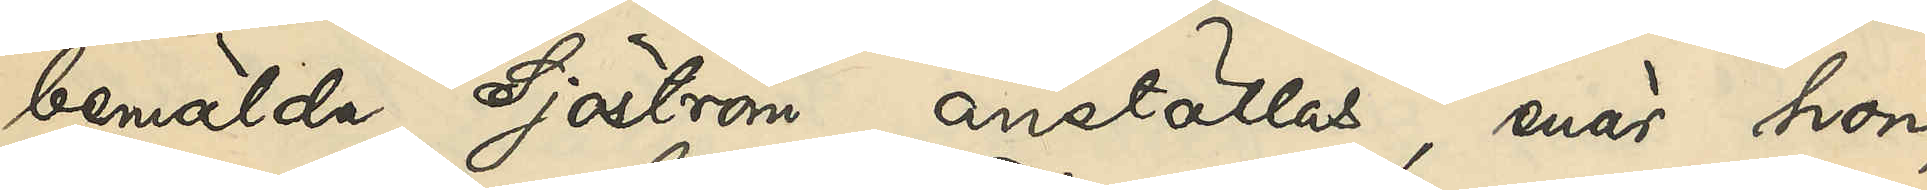bemälda Sjöström anställas, enär hon,
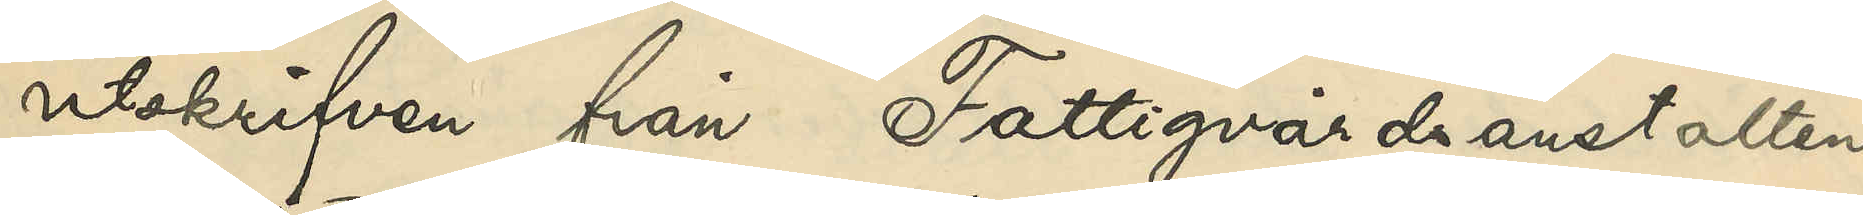utskrifven från Fattigvårdsanstalten
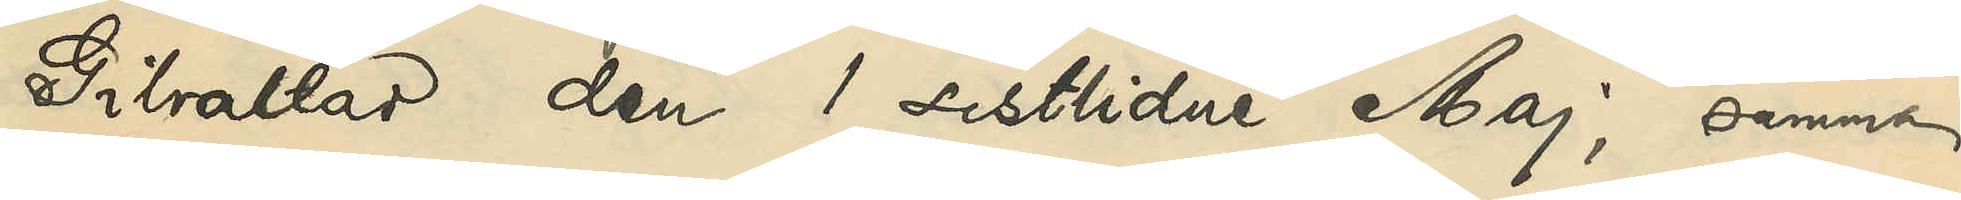Gibraltar den 1 sistlidne Maj, samma
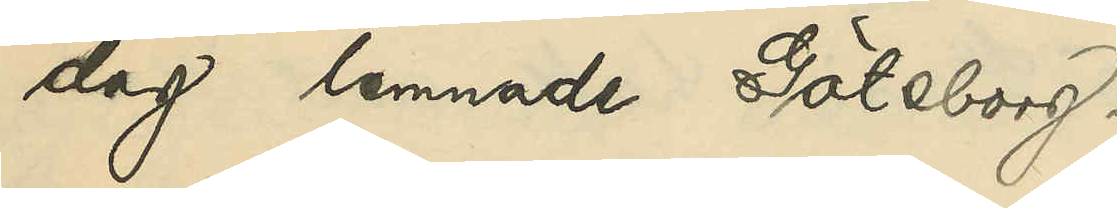dag lemnade Göteborg.
